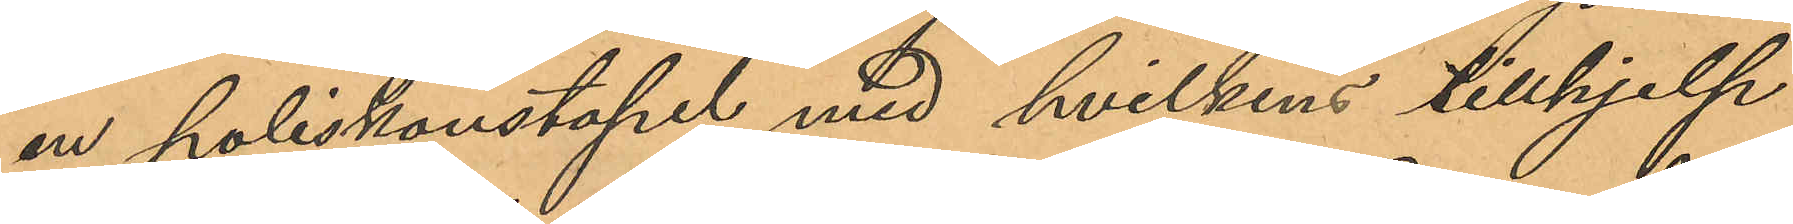en poliskonstapel med hvilkens tillhjelp
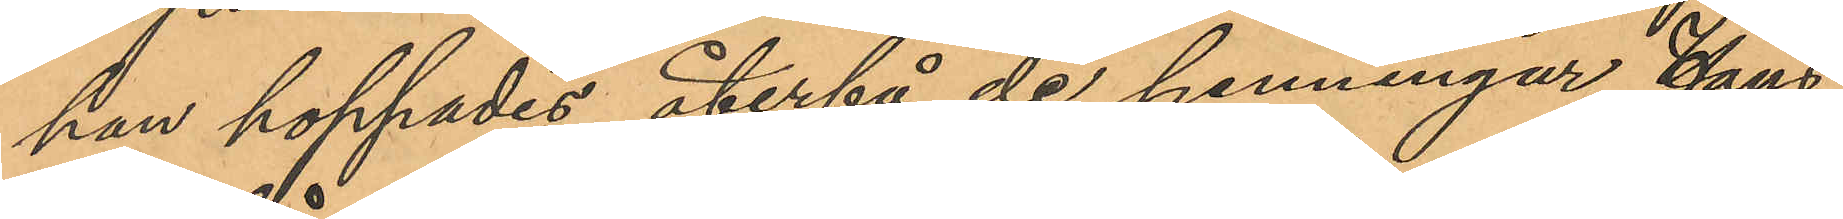han hoppades återfå de penningar Hans¬
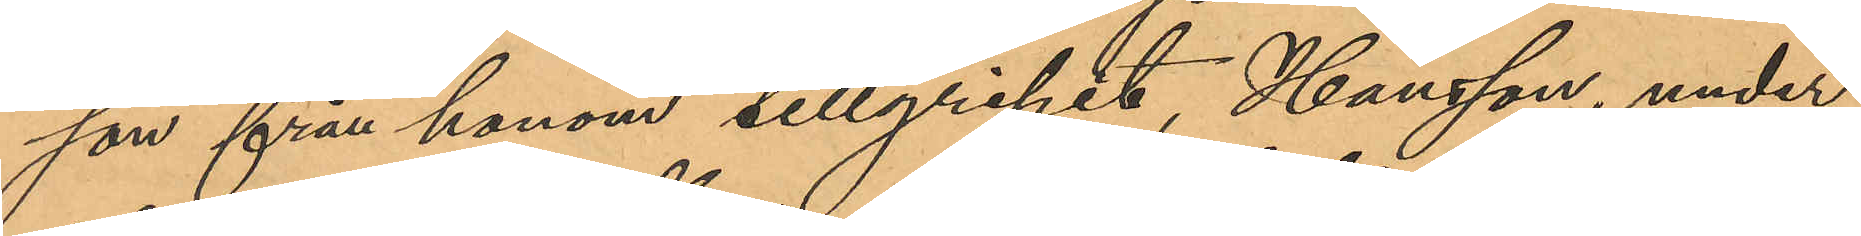son från honom tillgripit, Hansson, under
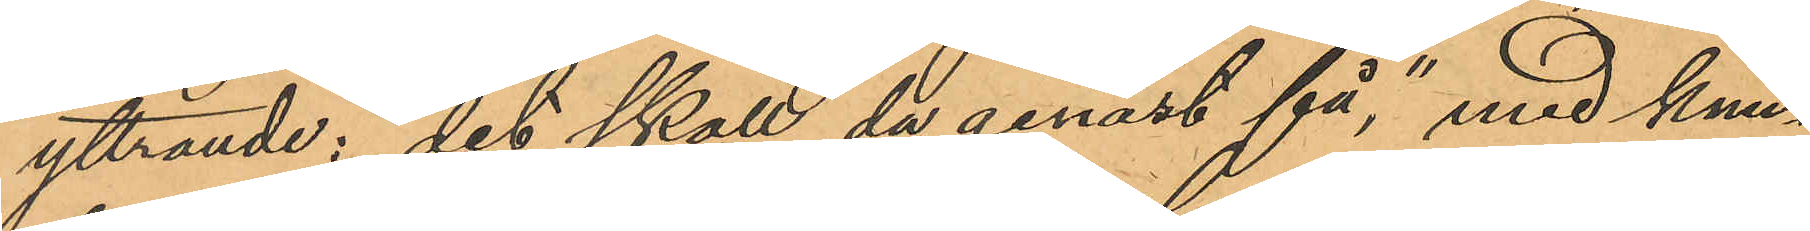yttrande: "det skall du genast få", med knu¬
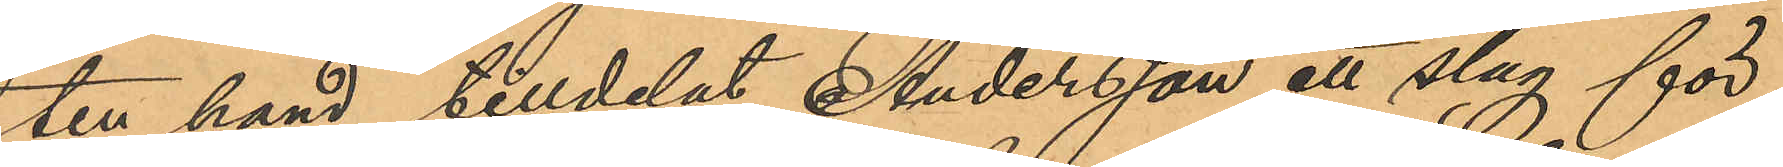ten hand tilldelat Andersson ett slag för
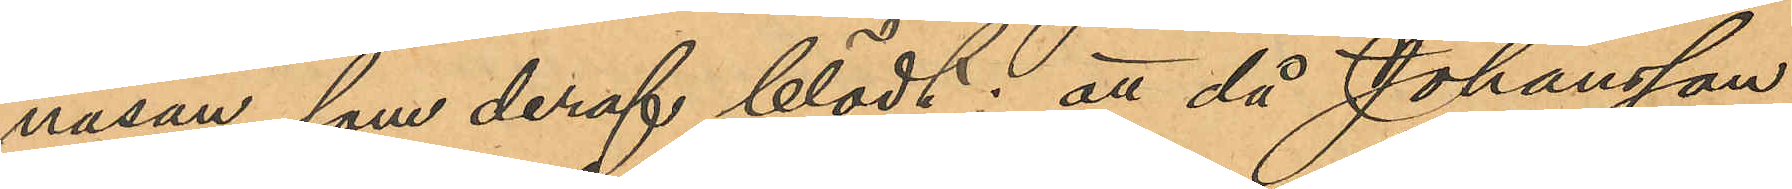näsan, som deraf blödt; att då Johansson
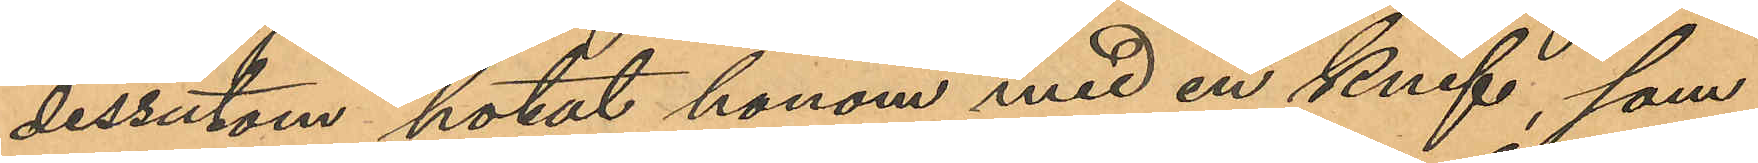dessutom hotat honom med en knif, som
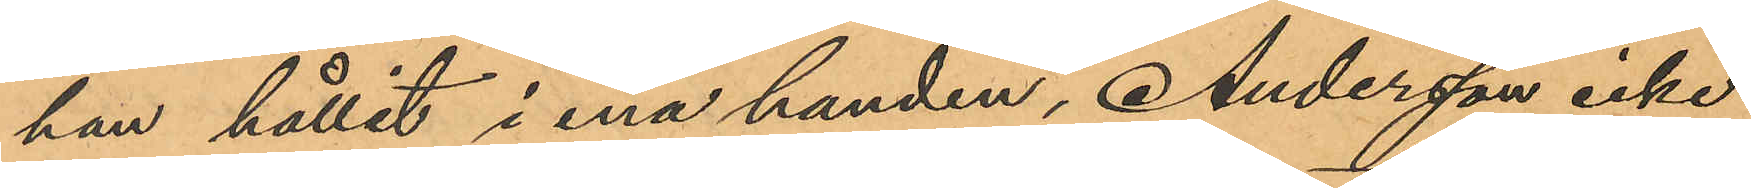han hållit i ena handen, Andersson icke
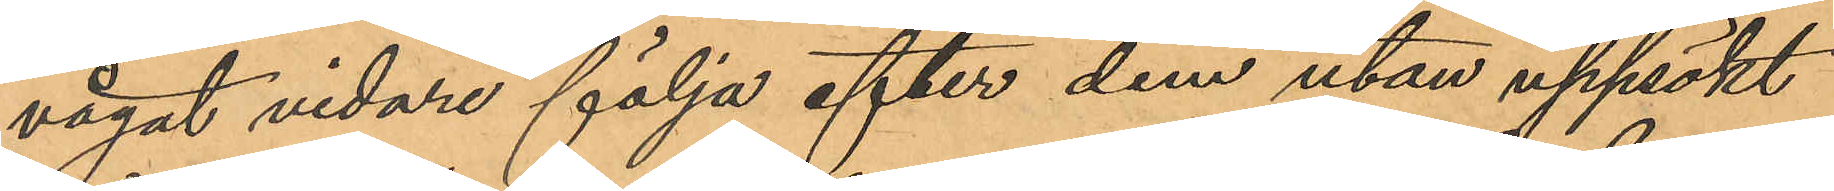vågat vidare följa efter dem utan uppsökt
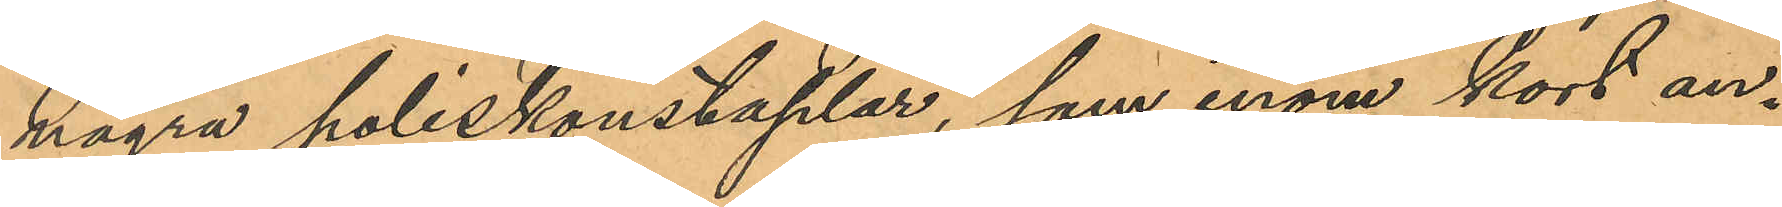några poliskonstaplar, som inom kort an¬
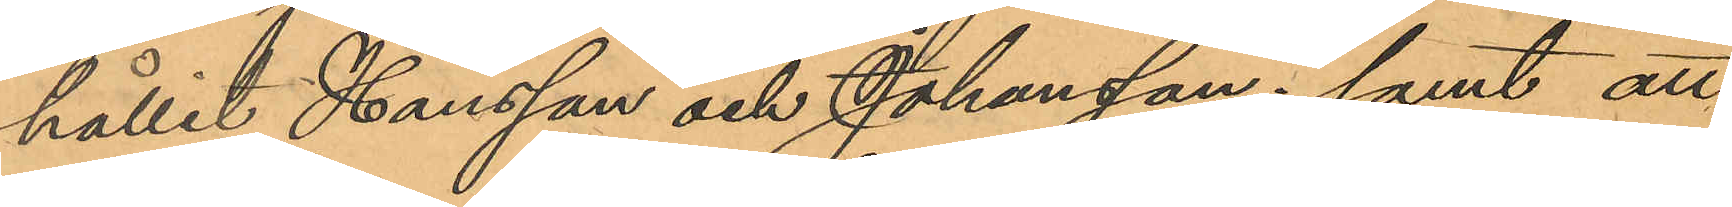hållit Hansson och Johansson; samt att
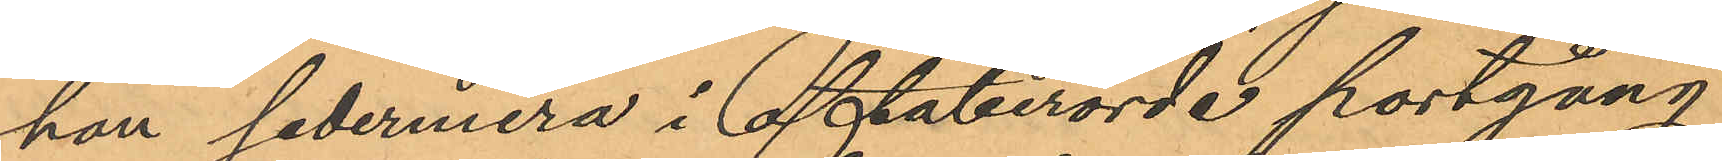han sedermera i oftaberörde portgång
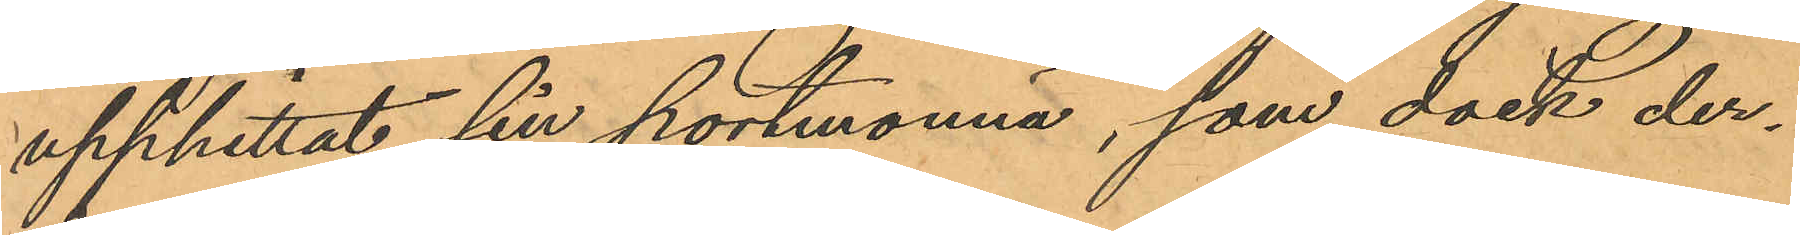upphittat sin portmonnä, som dock der¬
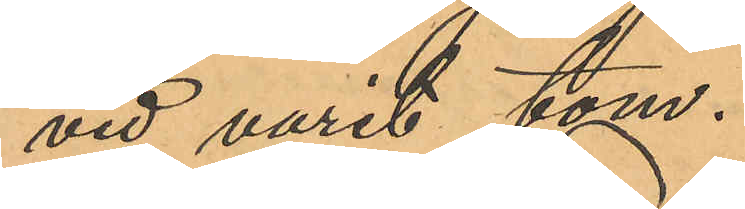vid varit tom.
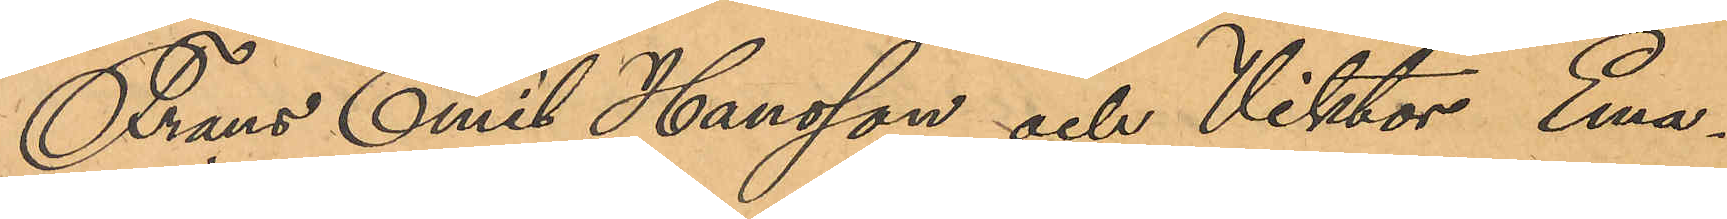Frans Emil Hansson och Viktor Ema¬
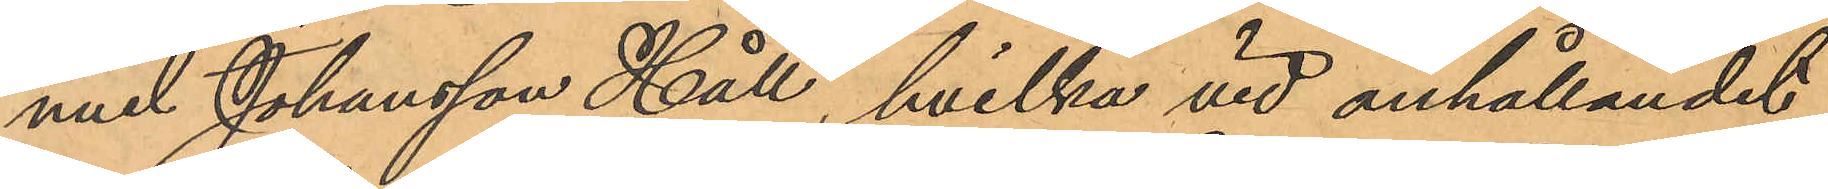nuel Johansson Håll, hvilka vid anhållandet
